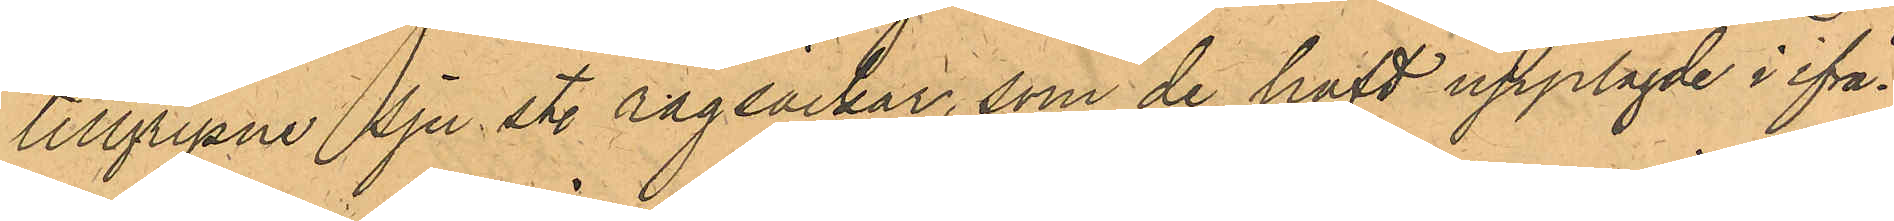tillgripne sju st. rågsäckar, som de haft upplagde i ifrå¬
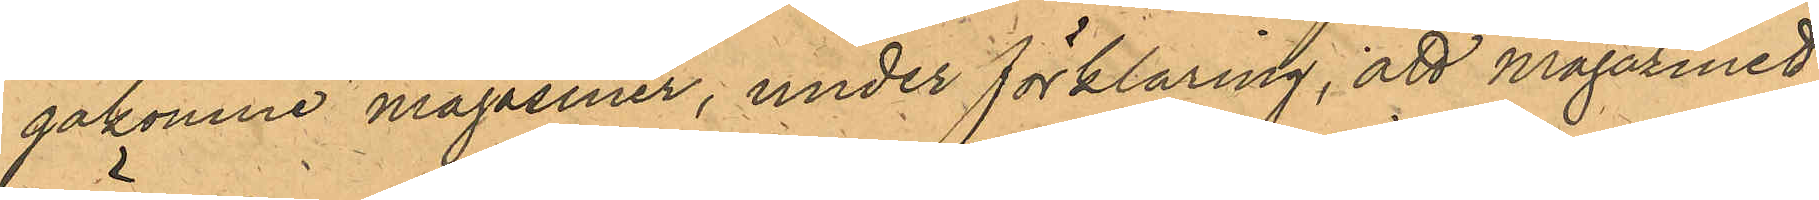gakomne magasiner, under förklaring, att Magazinet
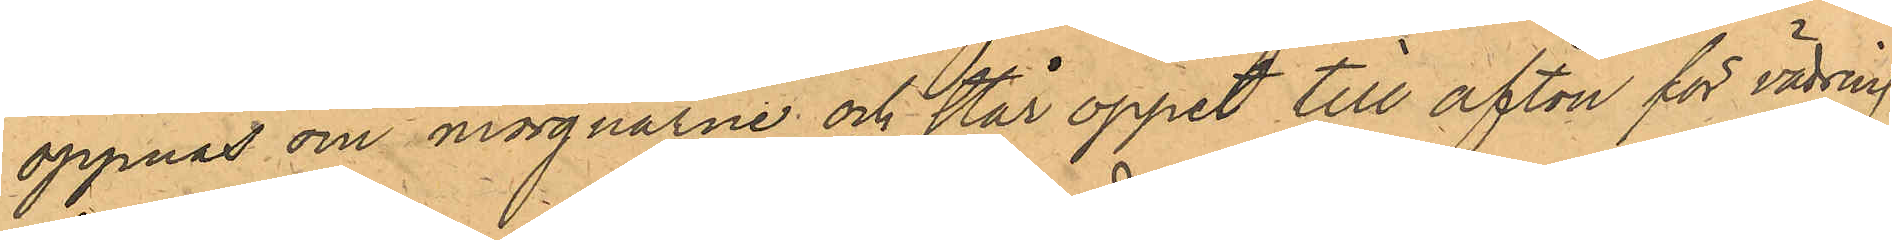öppnas om morgnarne och står öppet till afton för vädring
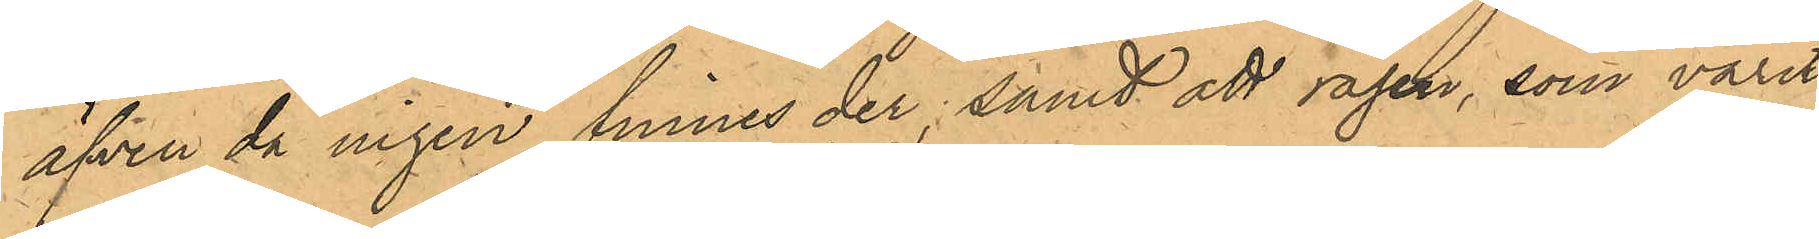äfven då ingen finnes der; samt att rågen, som varit
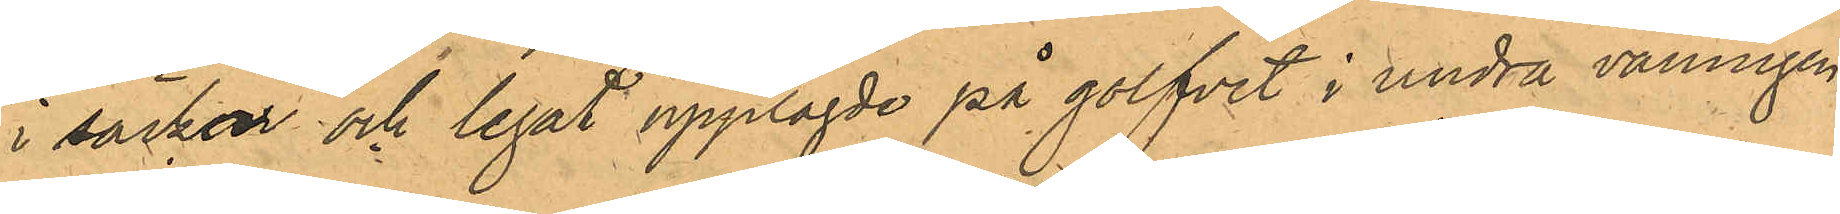i säckar och legat upplagde på golfvet i andra våningen,
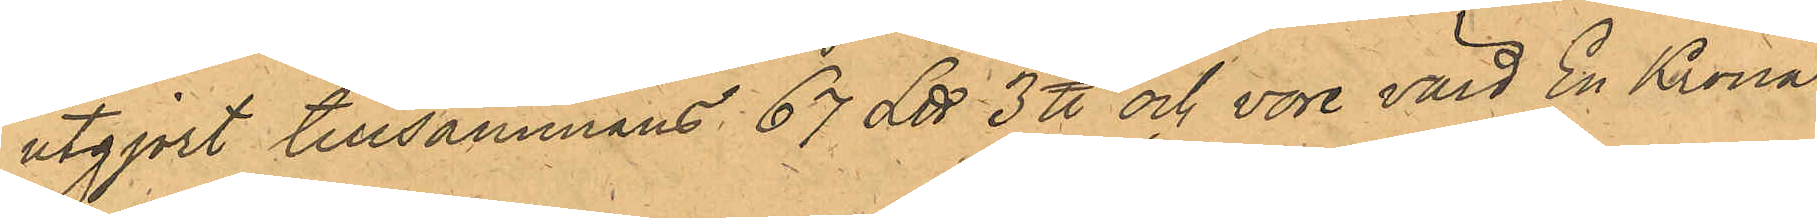utgjort tillsammans 67 L℔ 3 ℔ och vore värd En Krona
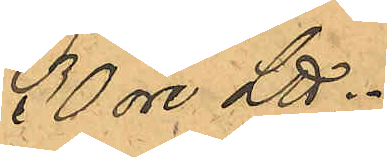30 öre L℔.
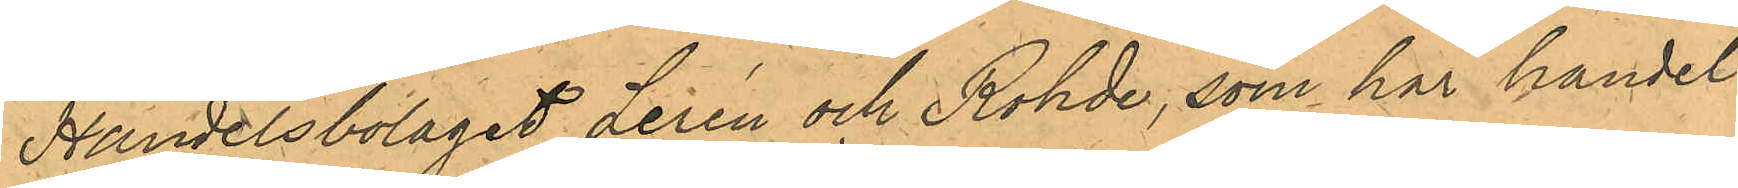Handelsbolaget Lerén och Rohde, som har handel
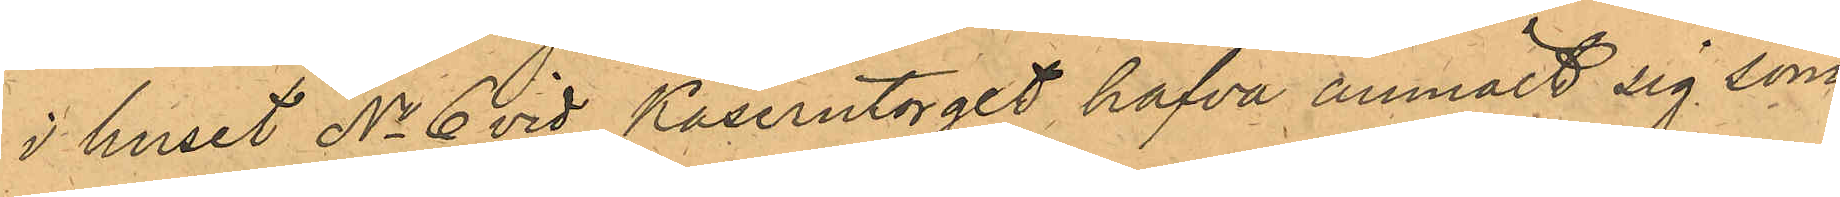i huset No 6 vid Kaserntorget hafva anmält sig som
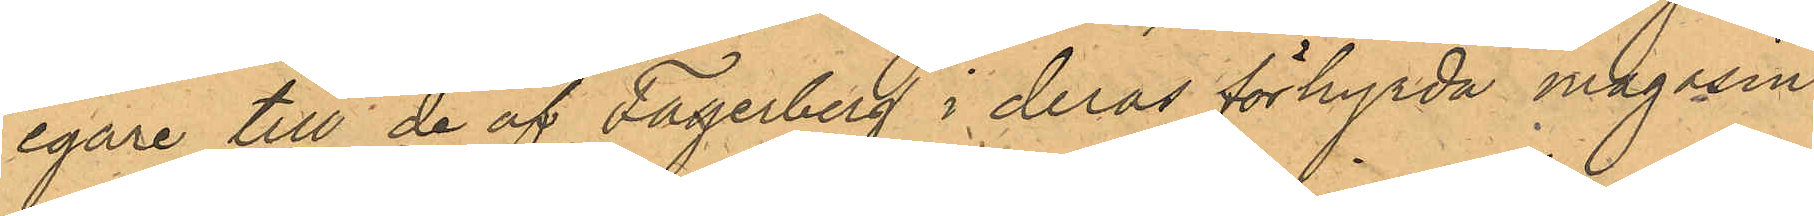egare till de af Fagerberg i deras förhyrda magasin
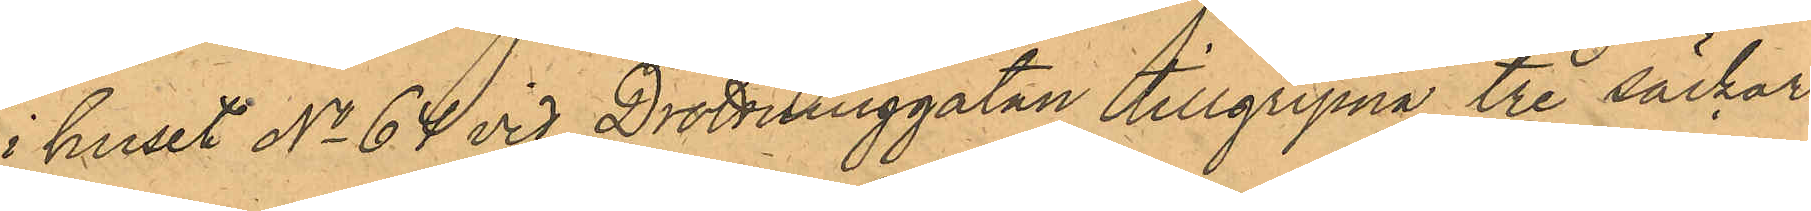i huset No 64 vid Drottninggatan tillgripna tre säckar
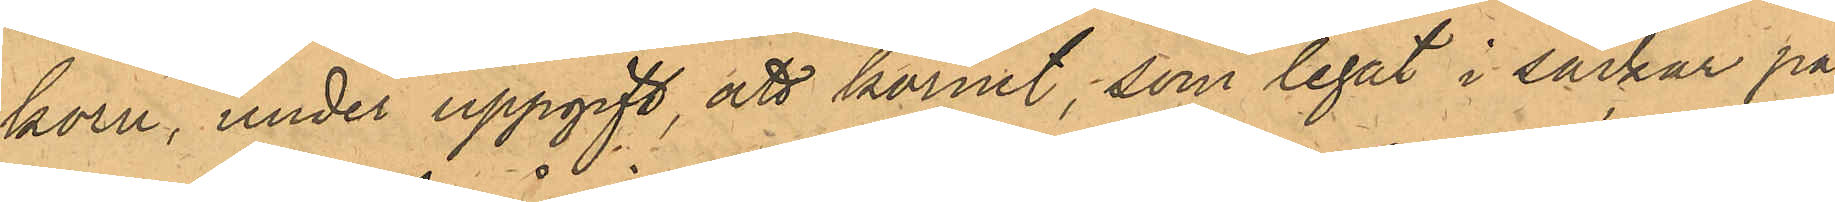korn, under uppgift att kornet, som legat i säckar på
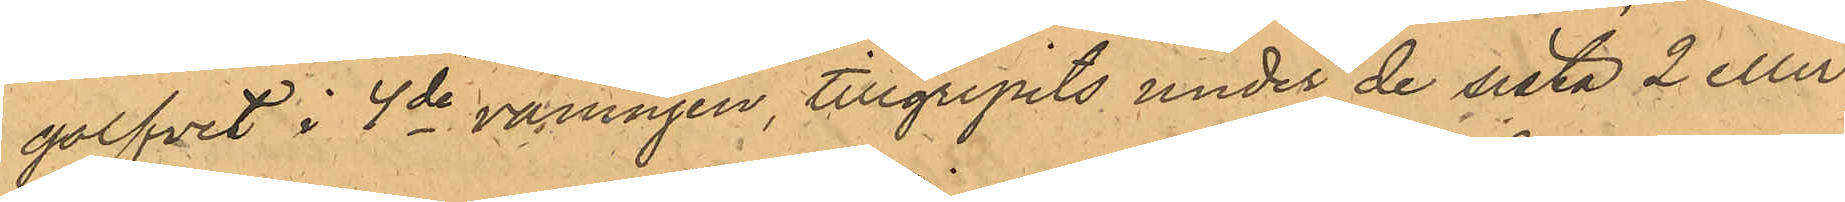golfvet i 4de våningen, tillgripits under de sista 2 eller
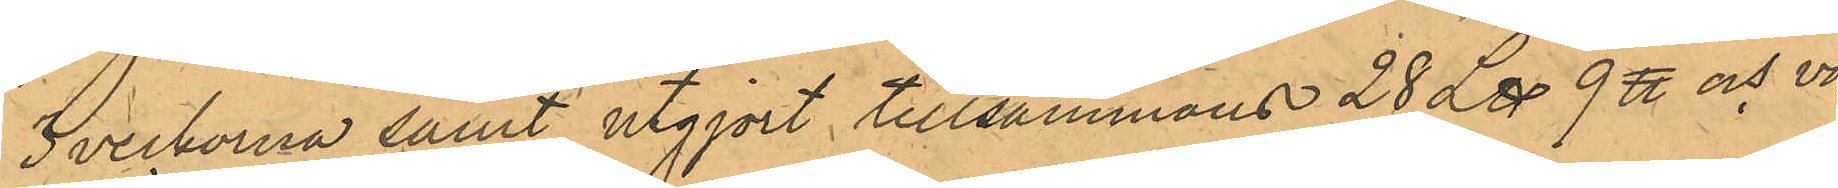3 veckorna samt utgjort tillsammans 28 L℔ 9 ℔ och vo¬
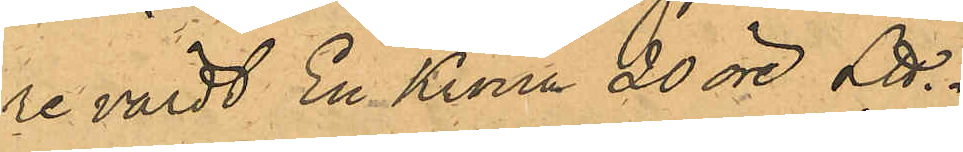re värdt En Krona 20 öre L℔.
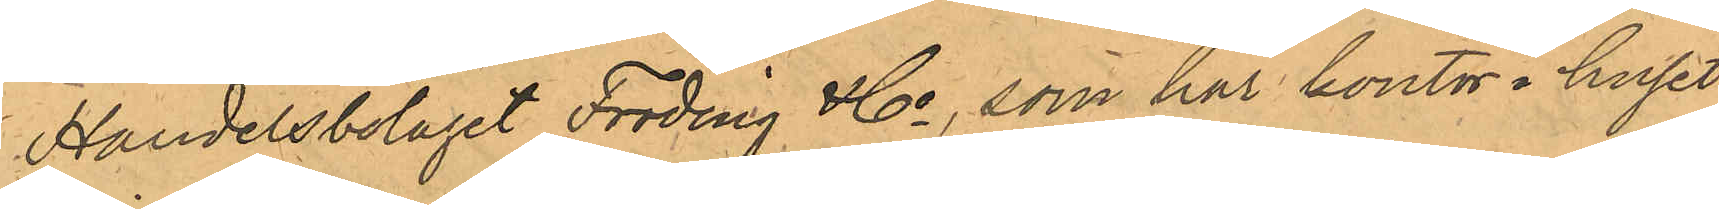Handelsbolaget Fröding & Co, som har kontor i huset
